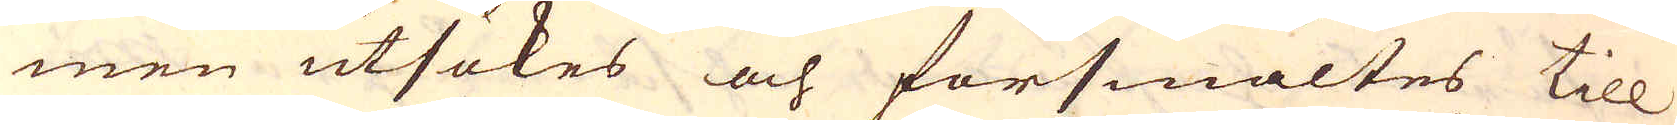men utsökes och försmältes till
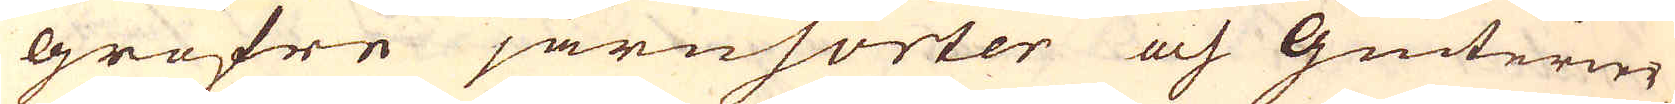gröfre järnsorter och Giuterier
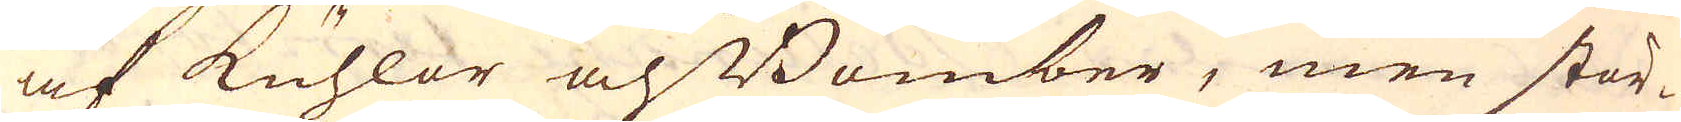af kuhlor och Bomber, men stör-
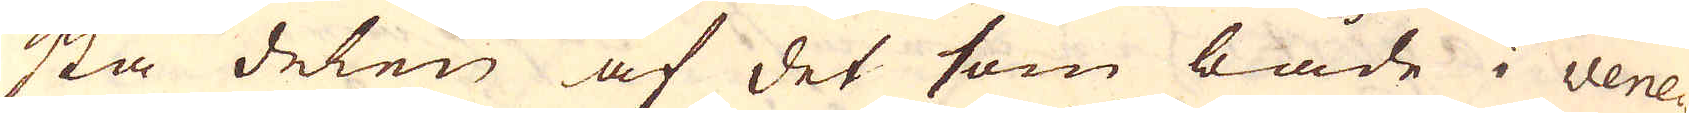sta delen af det som både i vene-
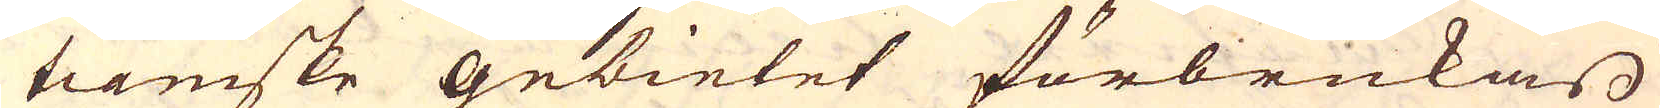tianiske gebietet förbrukas
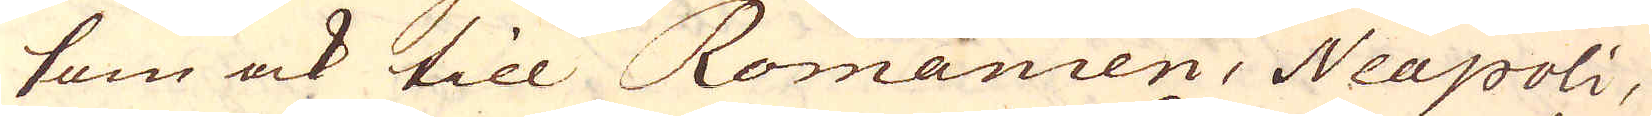som ock till Romanien, Neapoli,
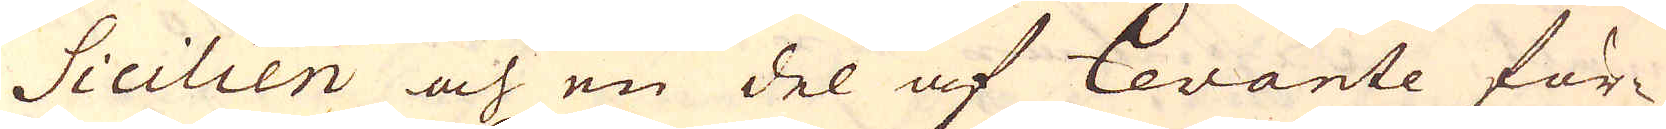Sicilien och en del af Cevante för-
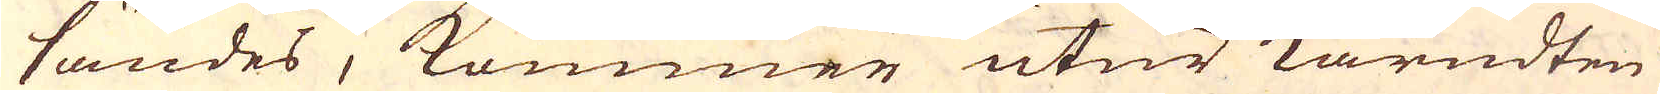sändes, kommer utur kärndten
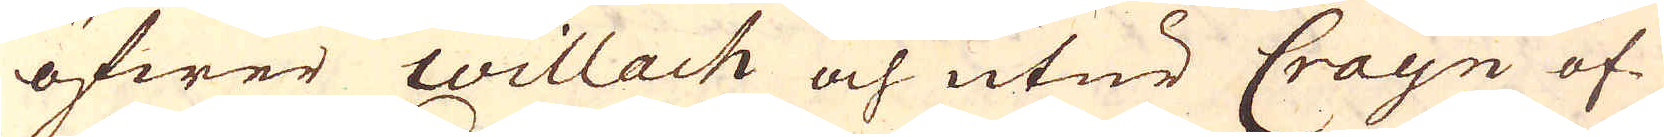öfwer Willach och utur Crayn öf-
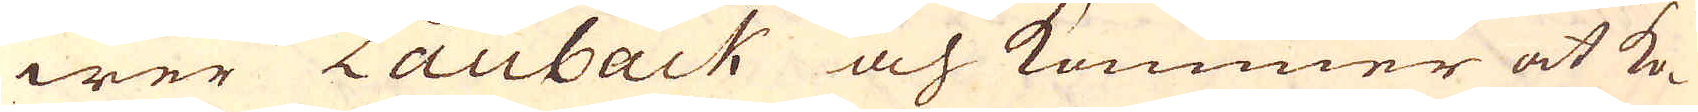wer Lauback och kommer at ko-
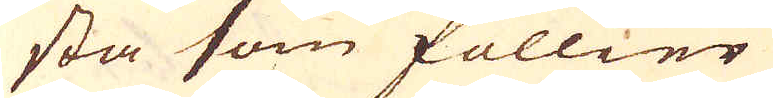sta som föllier
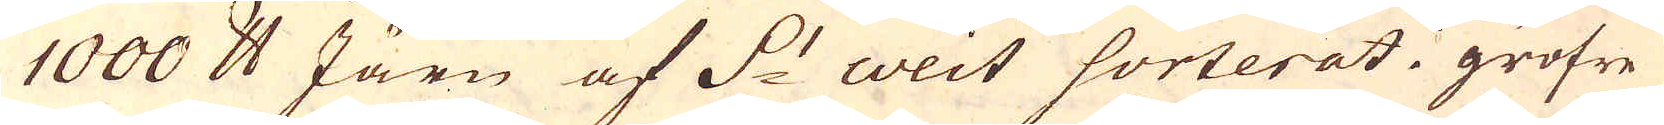1000 skålpund Järn af S:t weit sorterat i gröfre
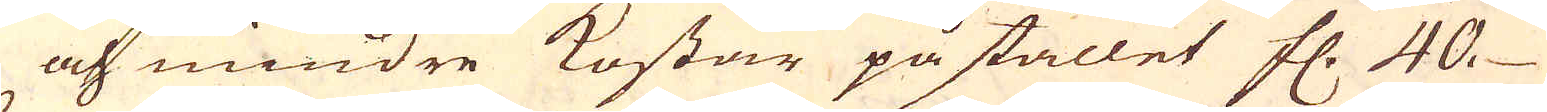och mindre kostar på stället fl. 40.
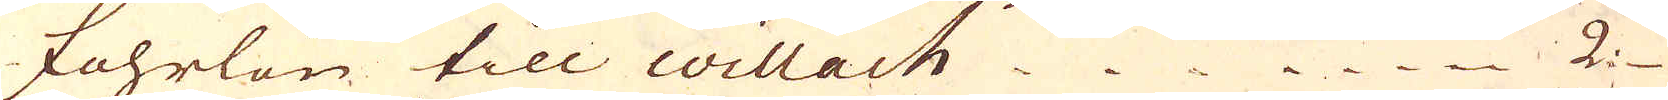Fohrlön till Willach 2.
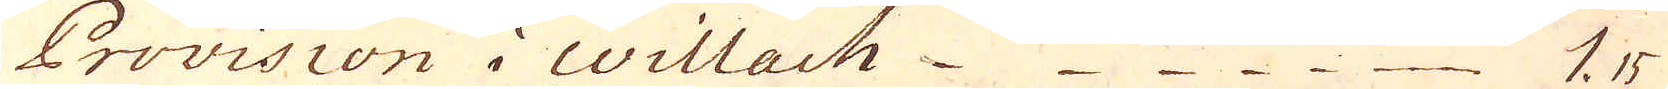Provision i Willach 1. 15
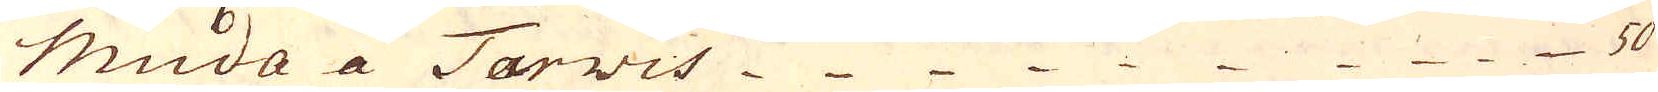Muda a Torvis 50
